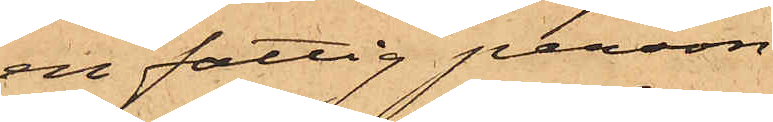en fattig person
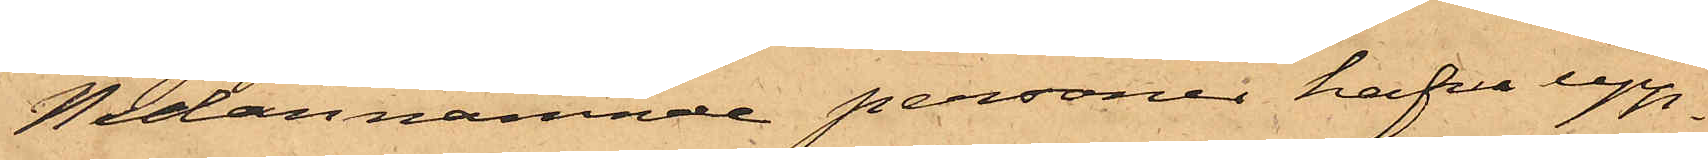Nedannämnde personer hafva upp¬
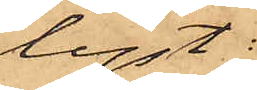lyst:
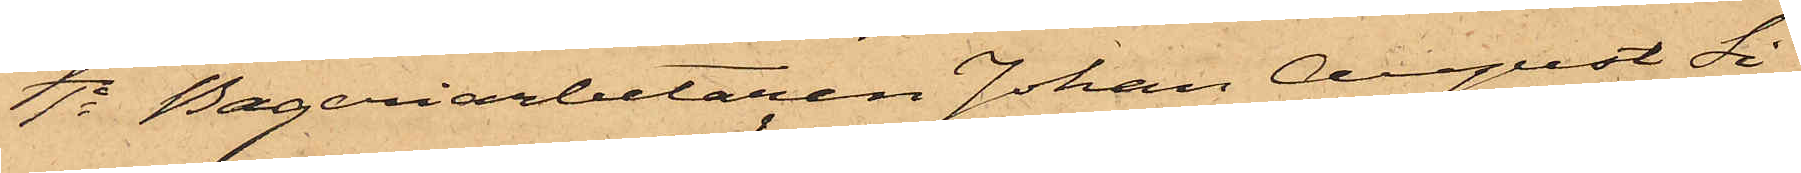1o Bageriarbetaren Johan August Si¬
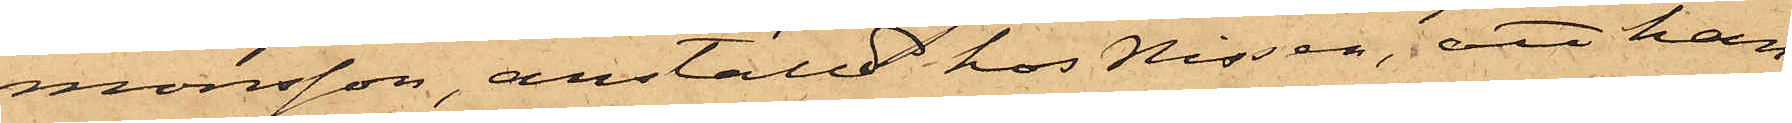monsson, anställd hos Nissen, att han
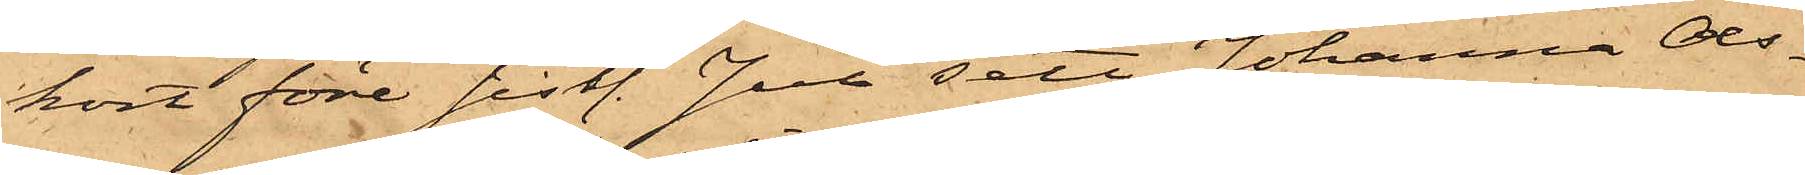kort före sistl. Jul sett Johanna Ols¬
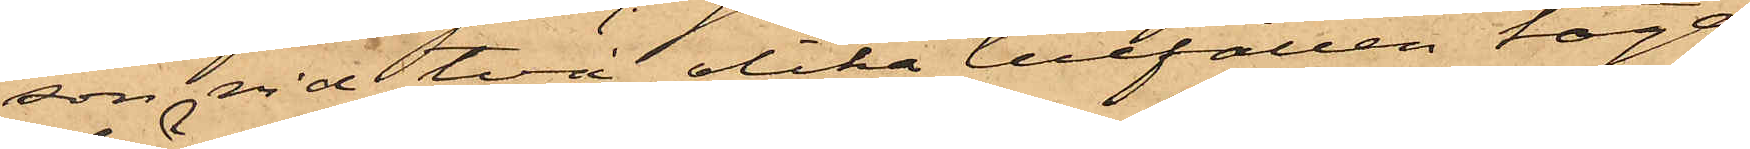son vid två olika tillfällen taga
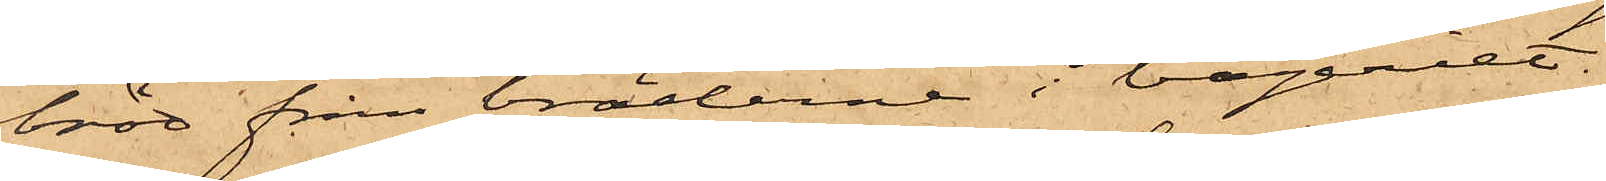bröd från bräderne i bageriet.
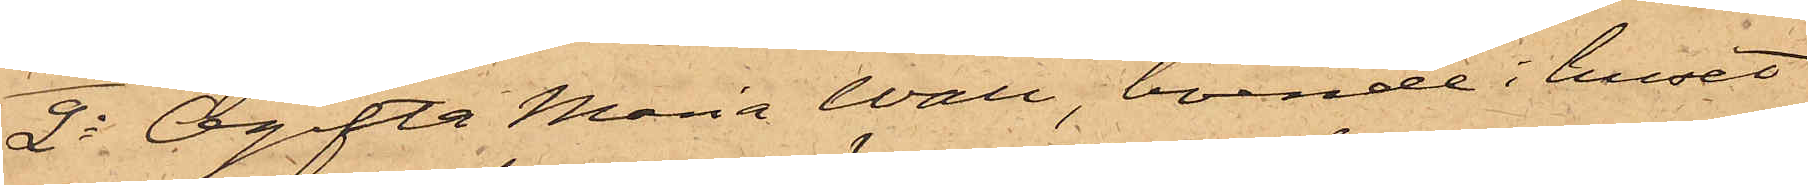2o Ogifta Maria Wall, boende i huset
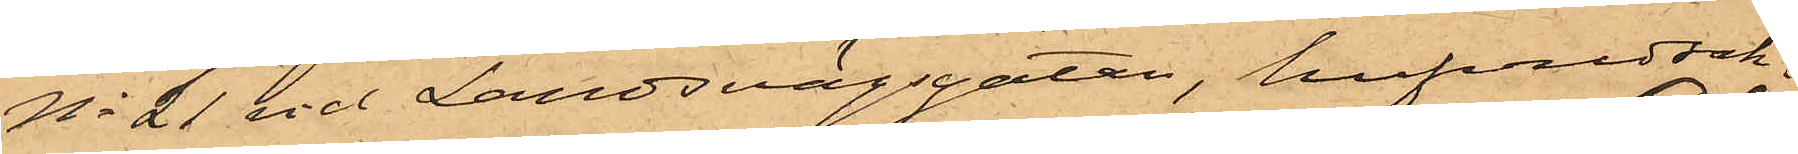No 21 vid Landsvägsgatan, hufvudsak¬
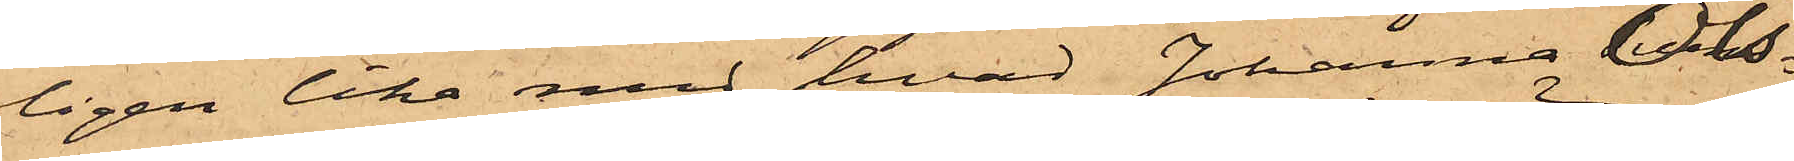ligen lika med hvad Johanna Ols¬
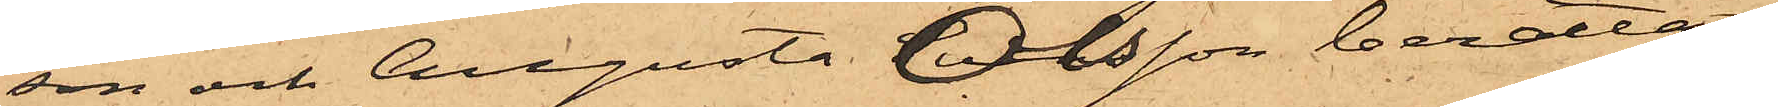son och Augusta Olsson berättat
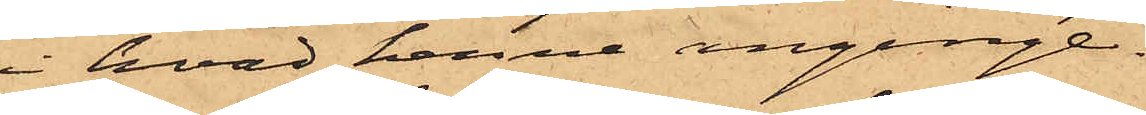i hvad henne anginge.
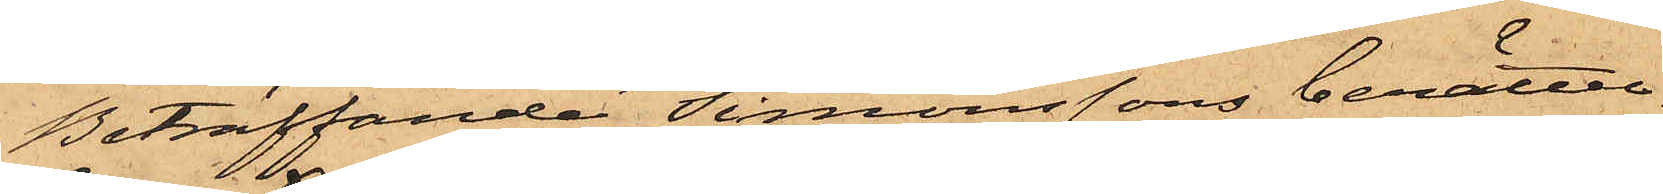Beträffande Simonssons berättel¬
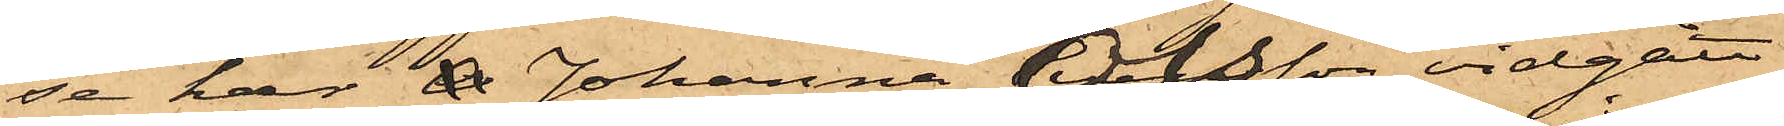se har A Johanna Olsson vidgått
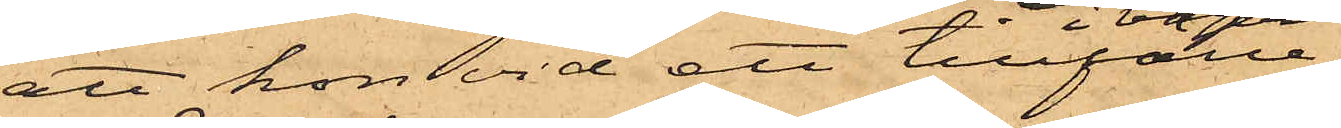att hon vid ett tillfälle
